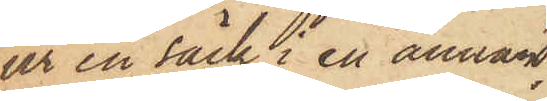ur en säck i en annan;
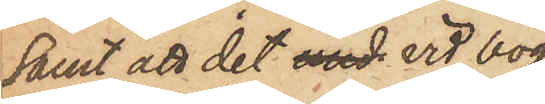samt att det med vid bog¬
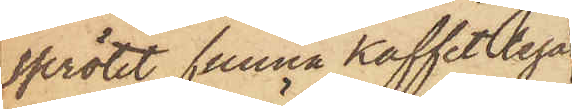sprötet funna kaffet legat
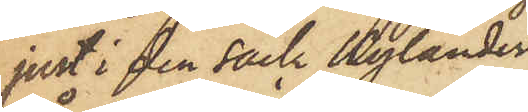just i den säck Kylander
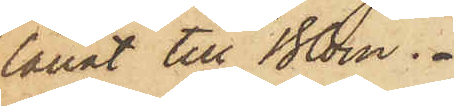lånat till Blom.
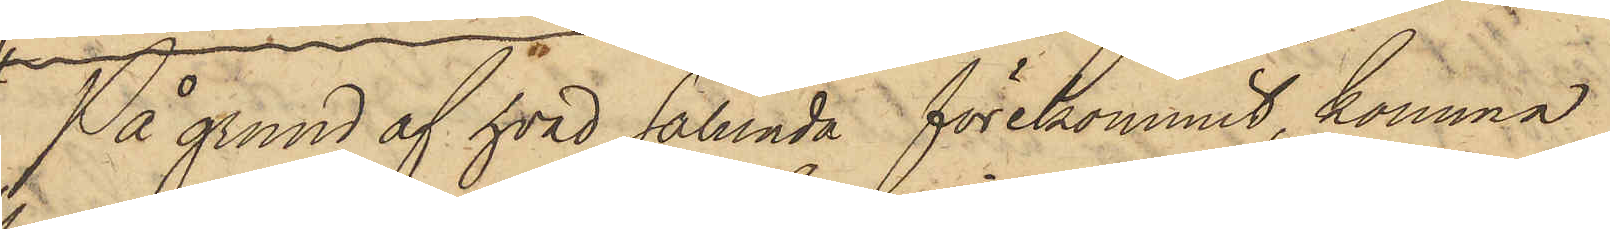På grund af hvad sålunda förekommit, komma
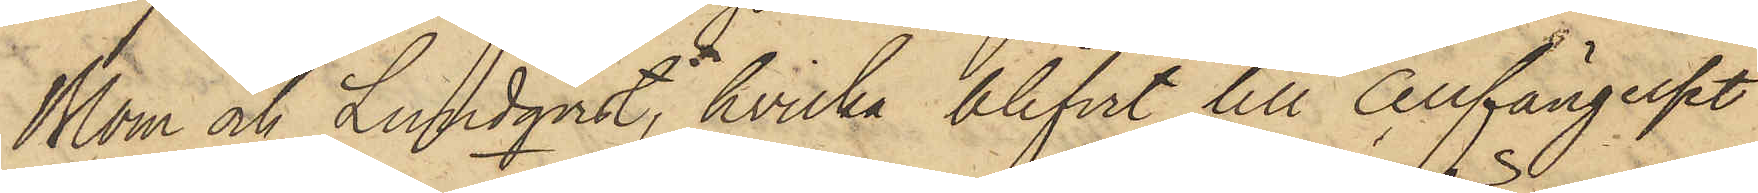Blom och Lundqvist, hvilka blifvit till Cellfängelset
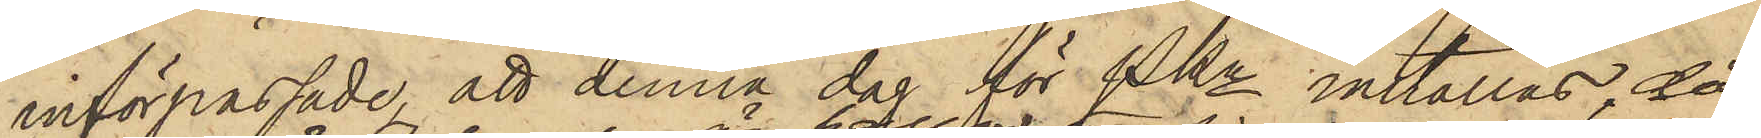införpassade, att denna dag för PKn inställas, då
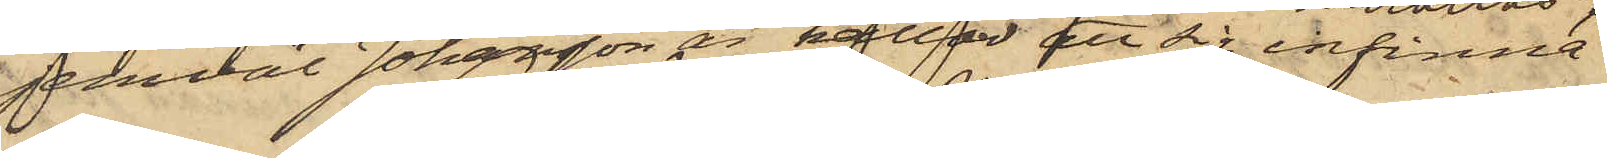jemväl Johansson är kallad att sig infinna.
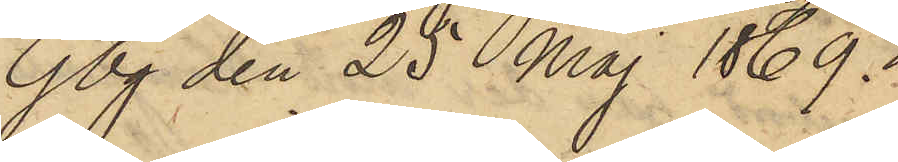Gbg den 25 Maj 1869.
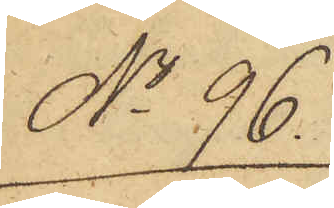No 96.
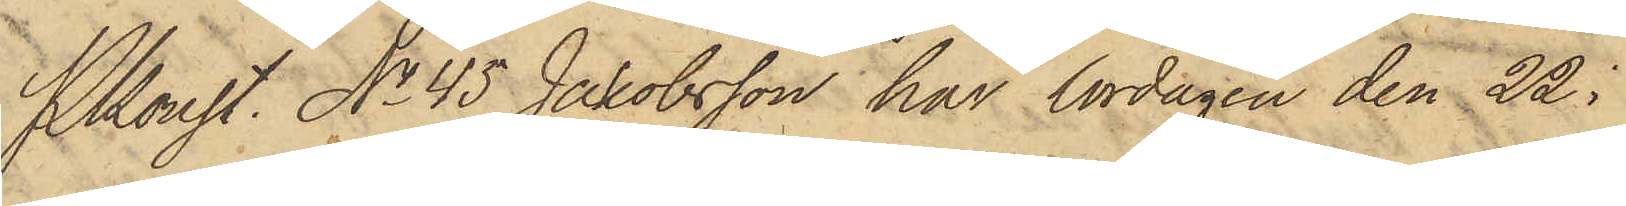Pkonst. No 45 Jakobsson har lördagen den 22 i
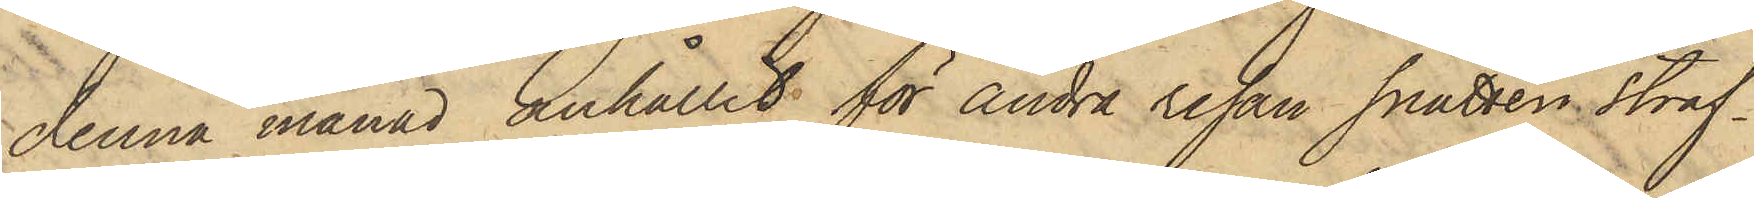denna månad anhållit för andra resan snatteri straf¬
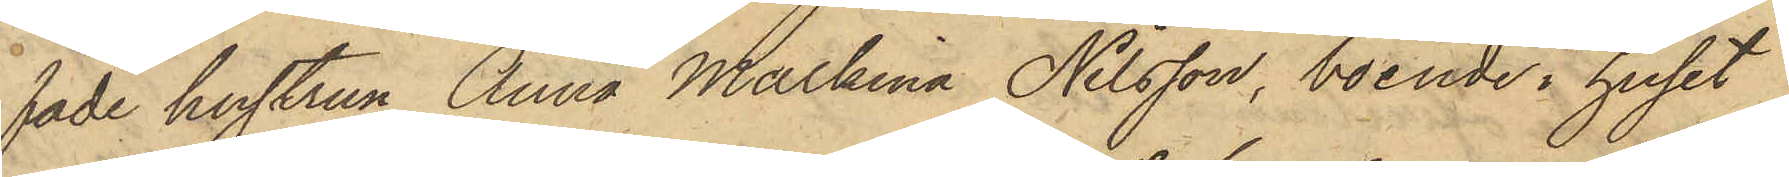fade hustrun Anna Malkina Nilsson, boende i huset
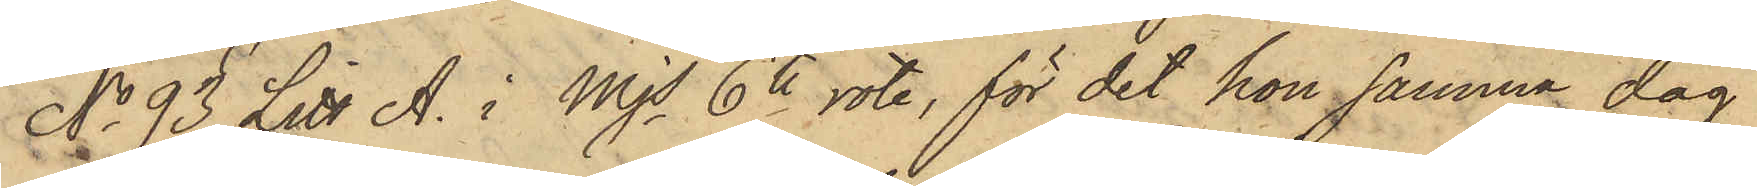No 93 Litt A. i Mjs 6te rote, för det hon samma dag
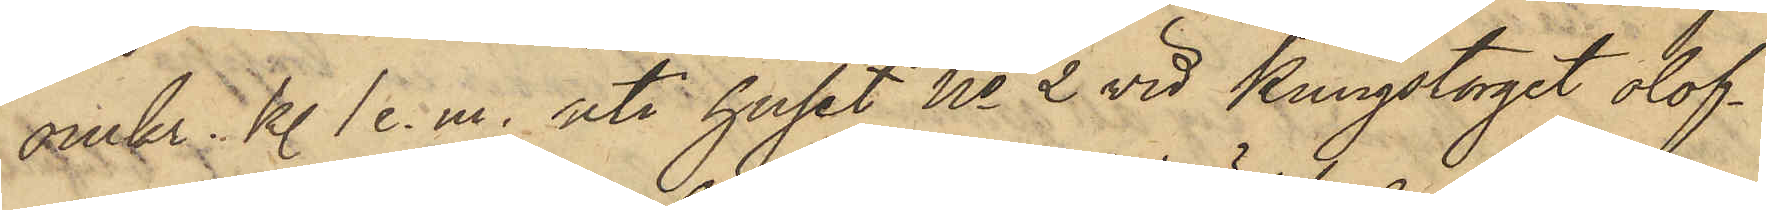omkr. kl. 1 e. m. uti huset No 2 vid Kungstorget olof¬
